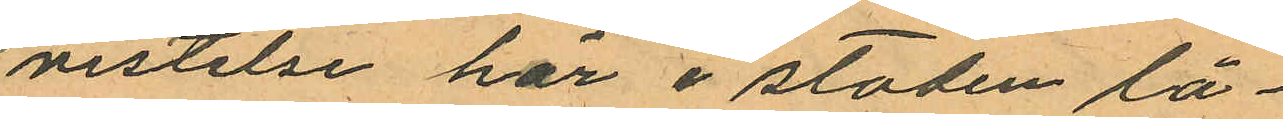vistelse här i staden lå¬
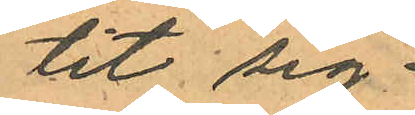tit sig;
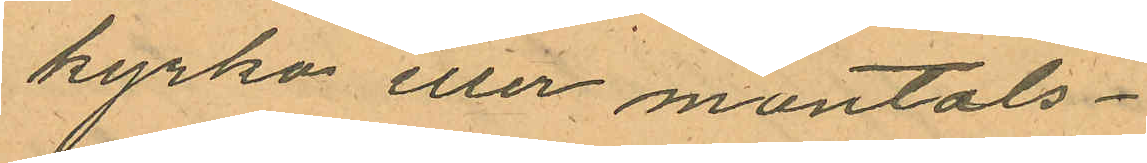kyrko eller mantals¬
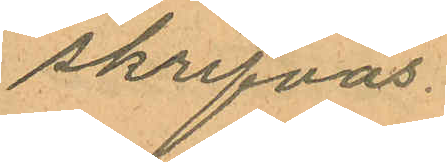skrifvas.
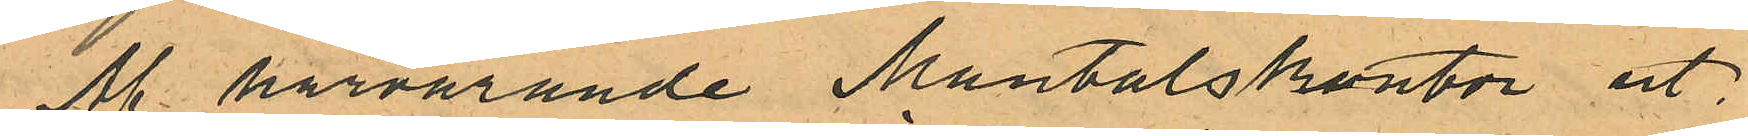Af härvarande Mantalskontor ut¬
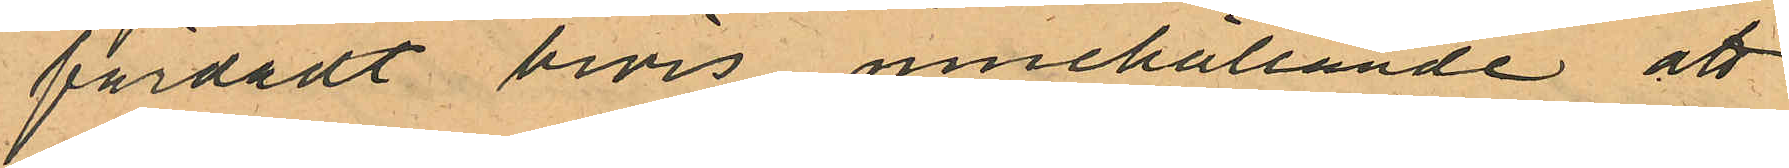färdadt bevis innehållande att
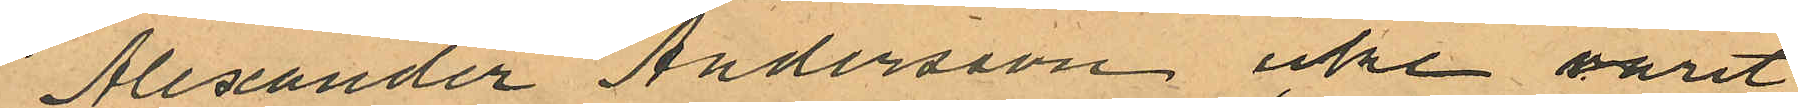Alexander Andersson icke varit
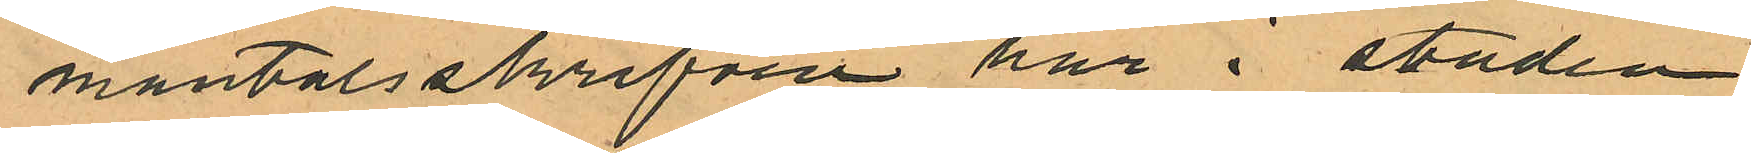mantalsskrifven här i staden
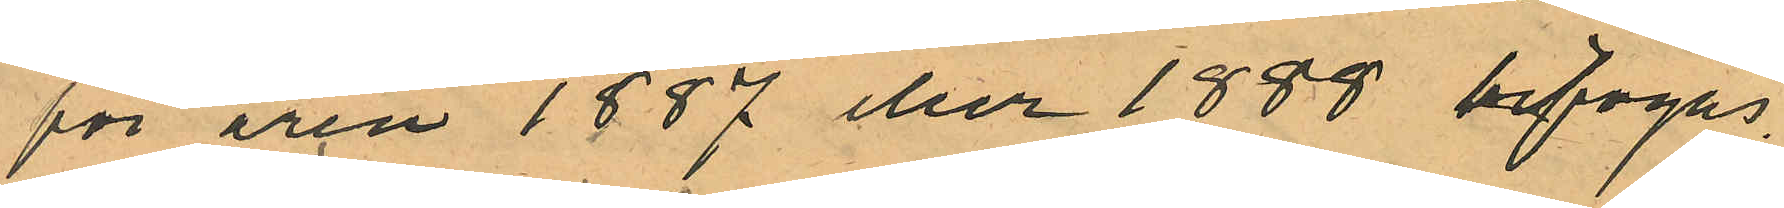för åren 1887 eller 1888 bifogas.
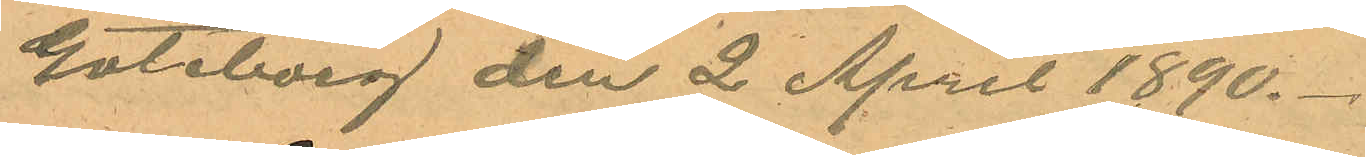Göteborg den 2 April 1890.
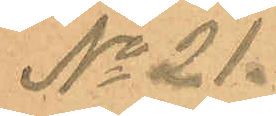No 21.
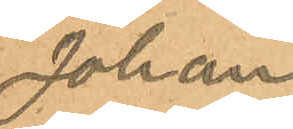Johan
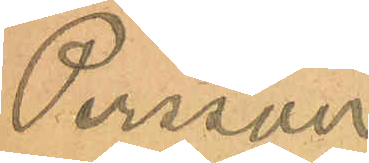Persson
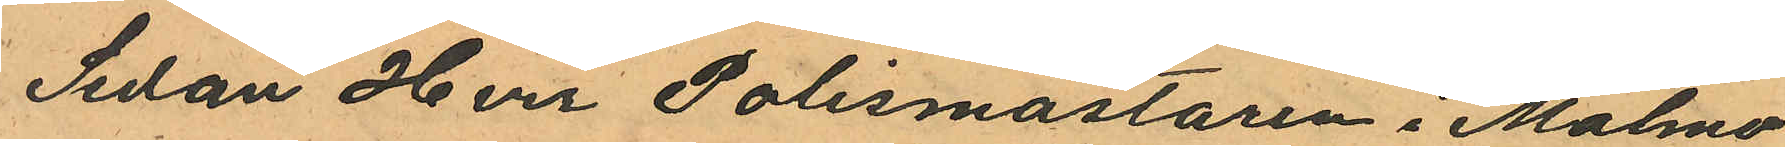Sedan Herr Polismästaren i Malmö
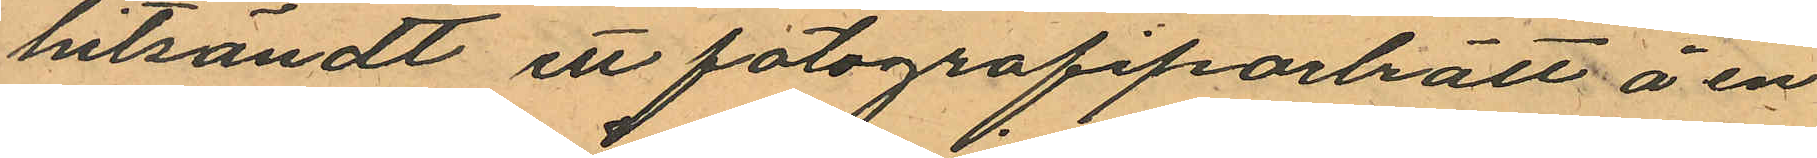hitsändt ett fotografiporlrätt å en
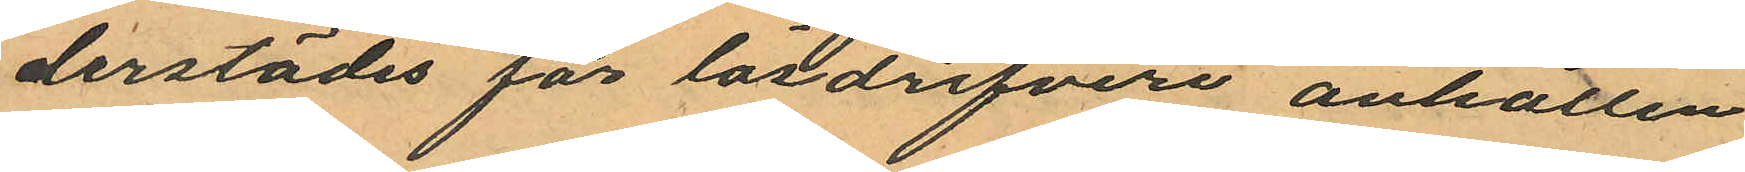derstädes för lösdrifveri anhållen
